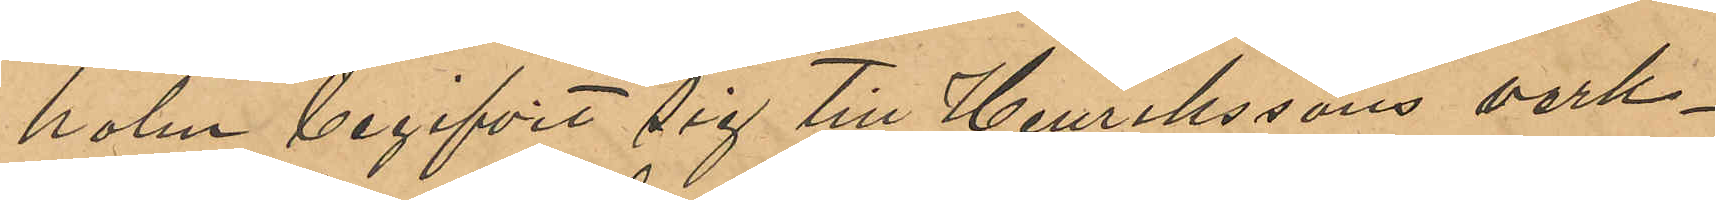holm begivit sig till Henrikssons verk¬
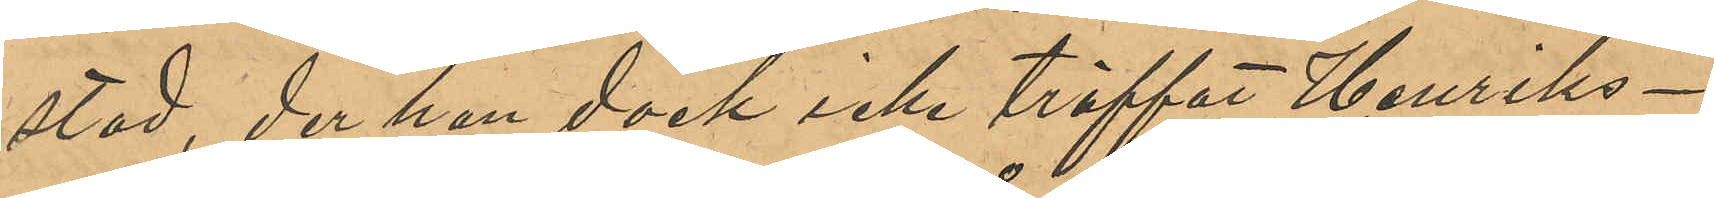stad, der han dock icke träffat Henriks¬
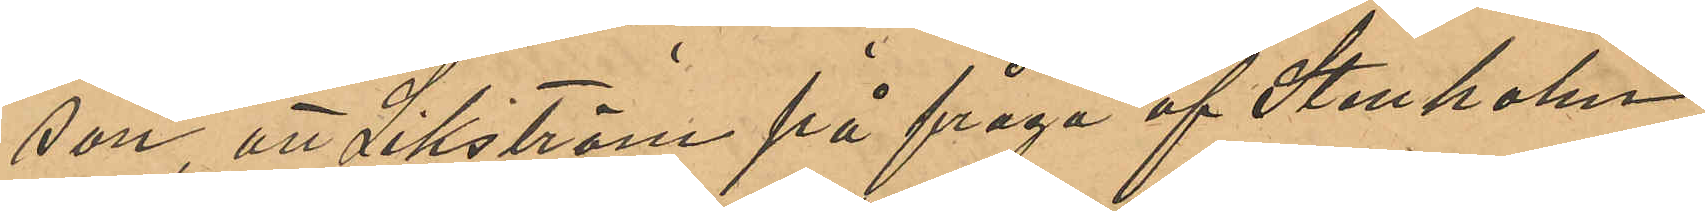son, att Sikström på fråga af Stenholm
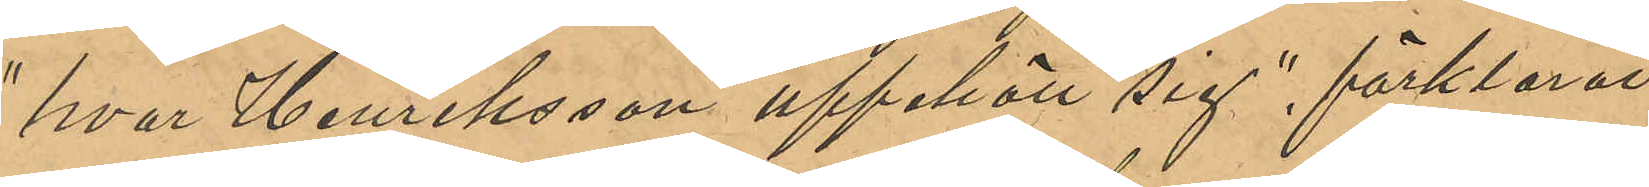"hvar Henriksson uppehöll sig", förklarat
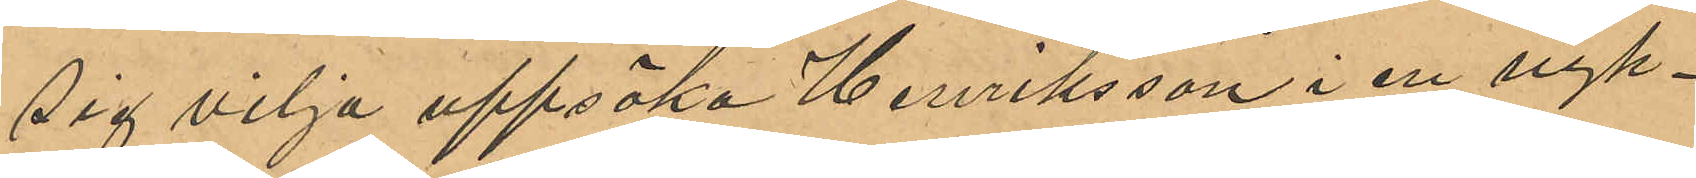sig vilja uppsöka Henriksson i en nyk¬
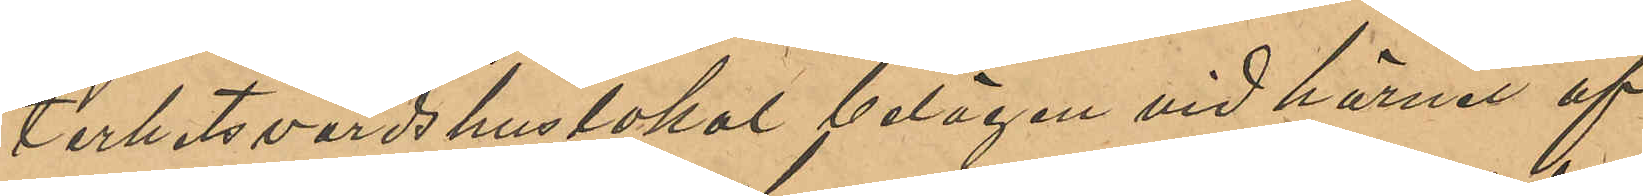terhetsvärdshuslokal belägen vid hörnet af
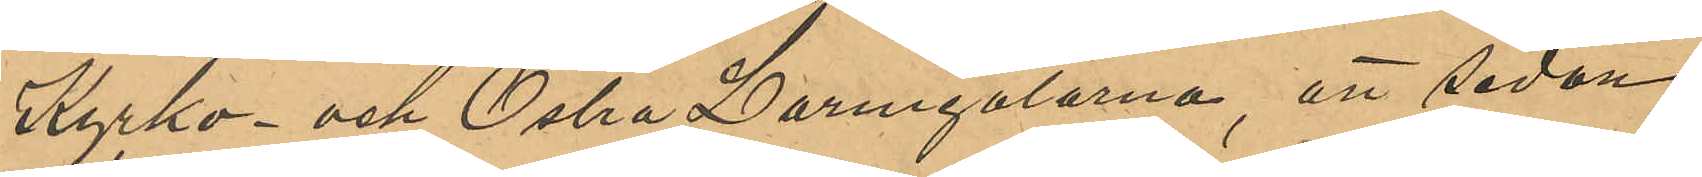Kyrko- och Östra Larmgatorna, att sedan
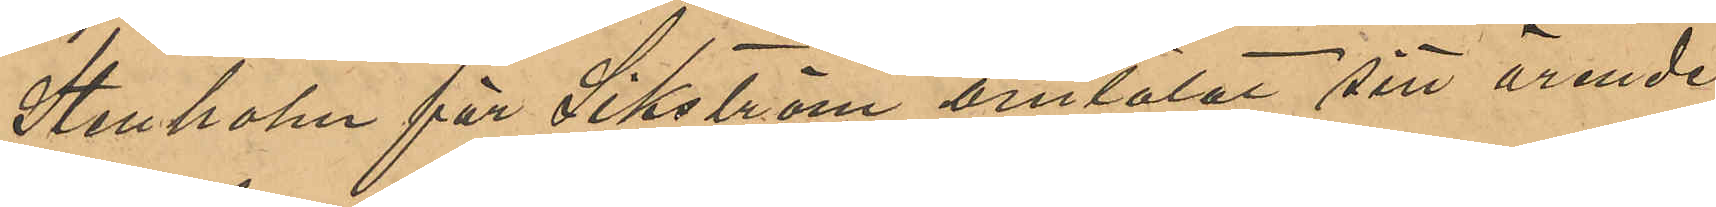Stenholm för Sikström omtalat sitt ärende
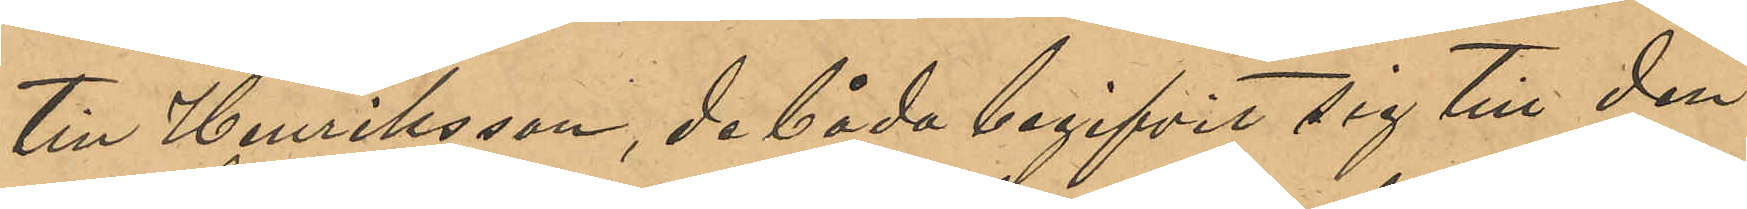till Henriksson, de båda begifvit sig till den
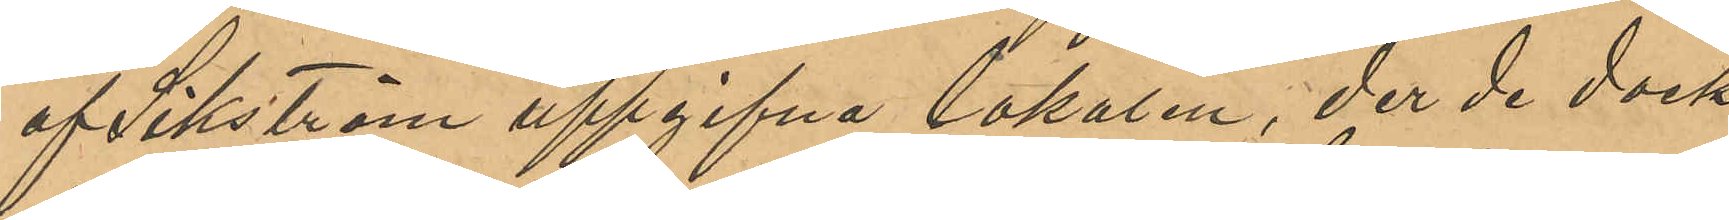af Sikström uppgifna lokalen, der de dock
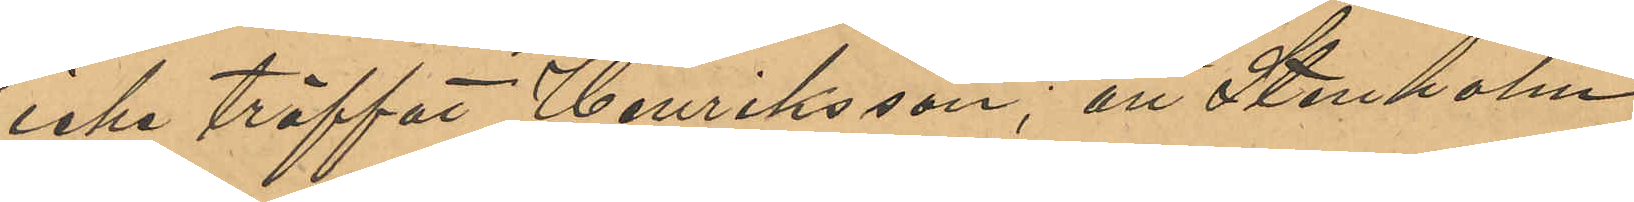icke träffat Henriksson; att Stenholm
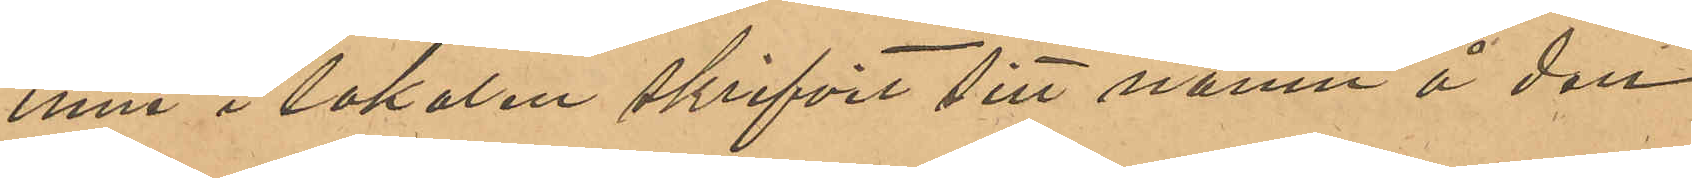inne i lokalen skrifvit sitt namn å den
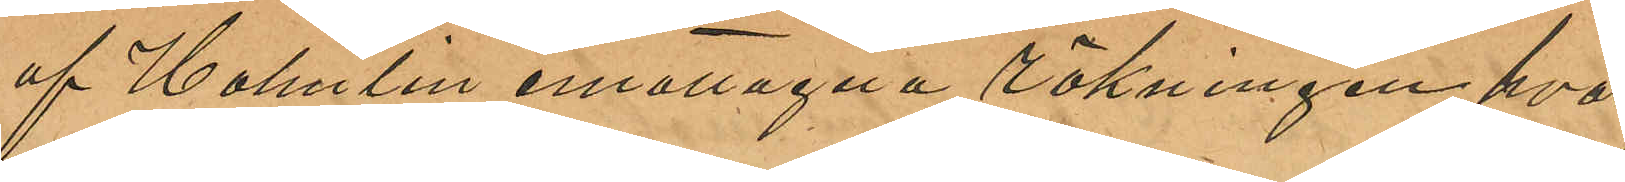af Holmlin emottagna räkningen, hvar¬
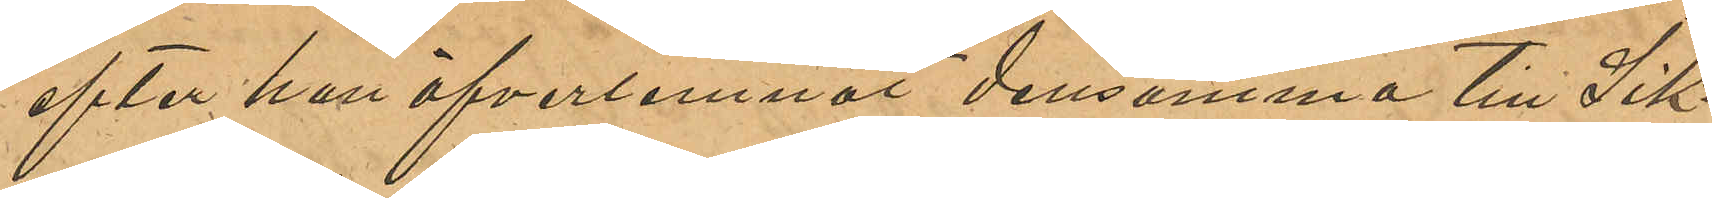efter han öfverlemnat densamma till Sik¬
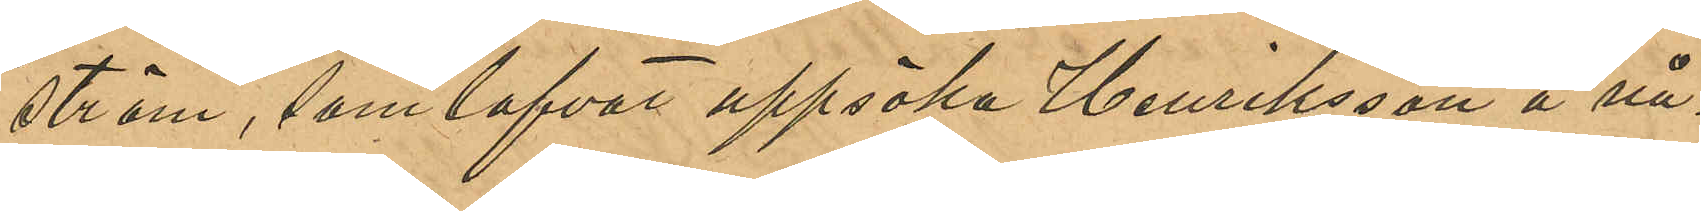ström, som lofvat uppsöka Henriksson å nå¬
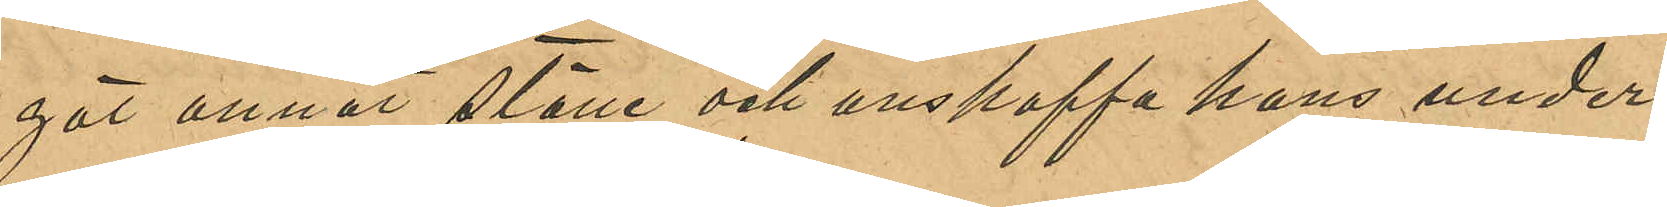got annat ställe och anskaffa hans under¬
